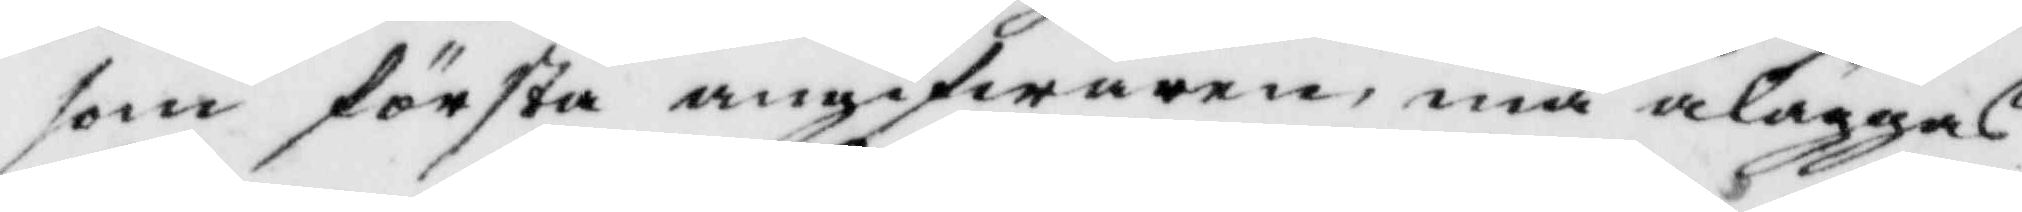som första angifwaren, må åläggas
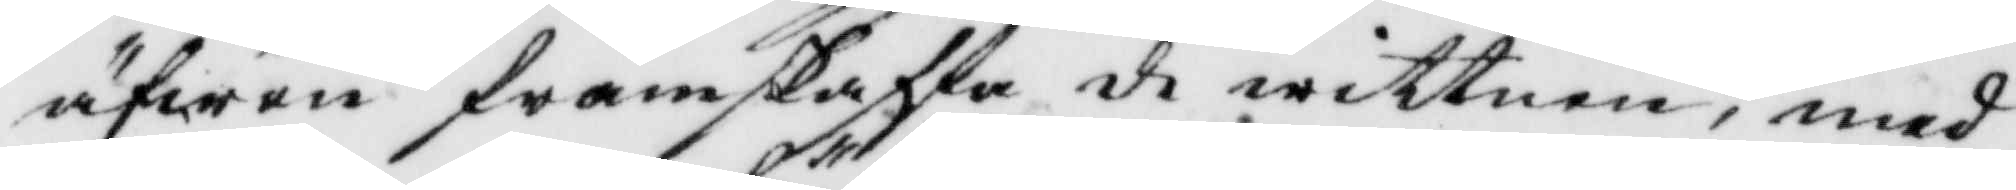äfwen framskaffa de wittnen, med
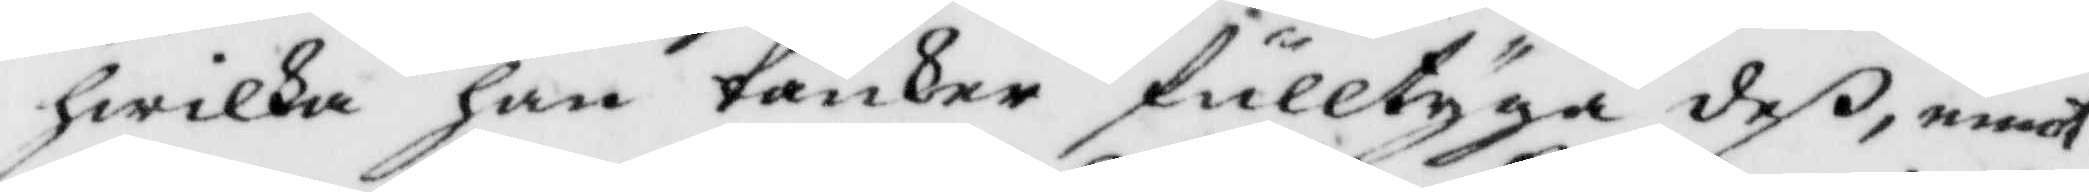hwilka han tänker fulltyga deß, emot
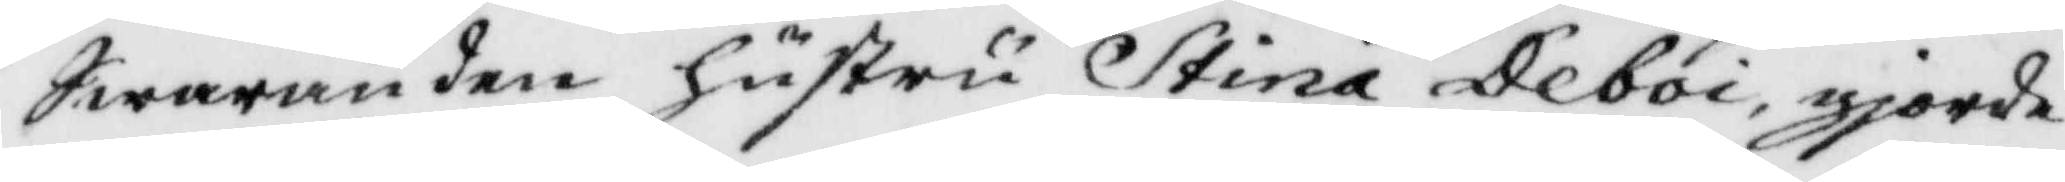Swaranden hustru Stina Deboi, gjorde
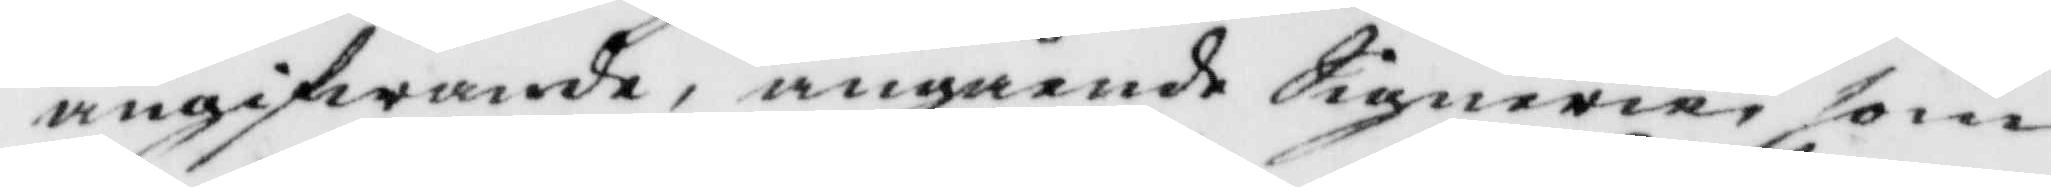angifwande, angående Signerie som
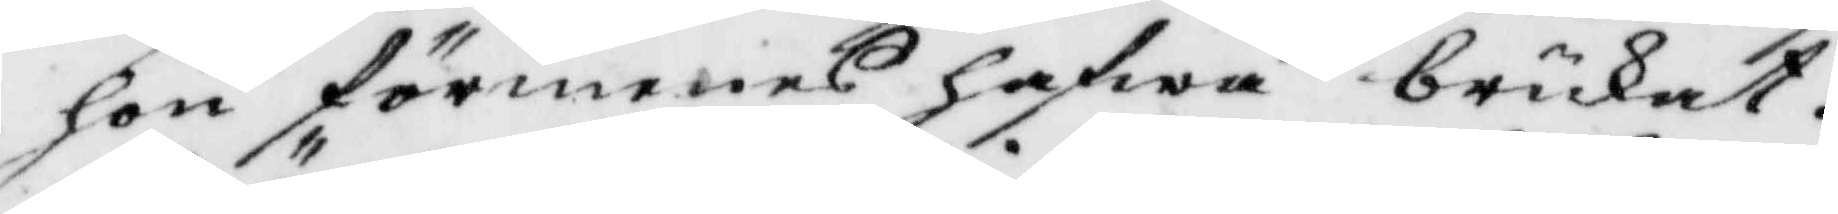hon förmenas hafwa brukat.
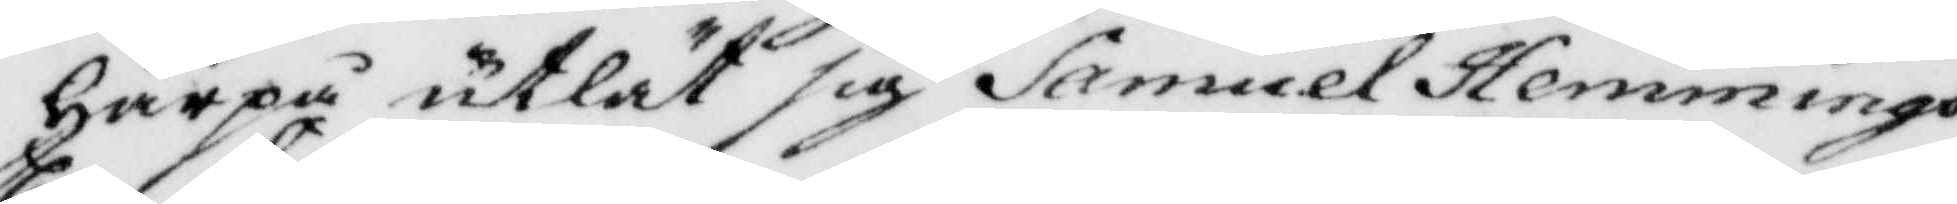Härpå utlåt sig Samuel Hemmings¬
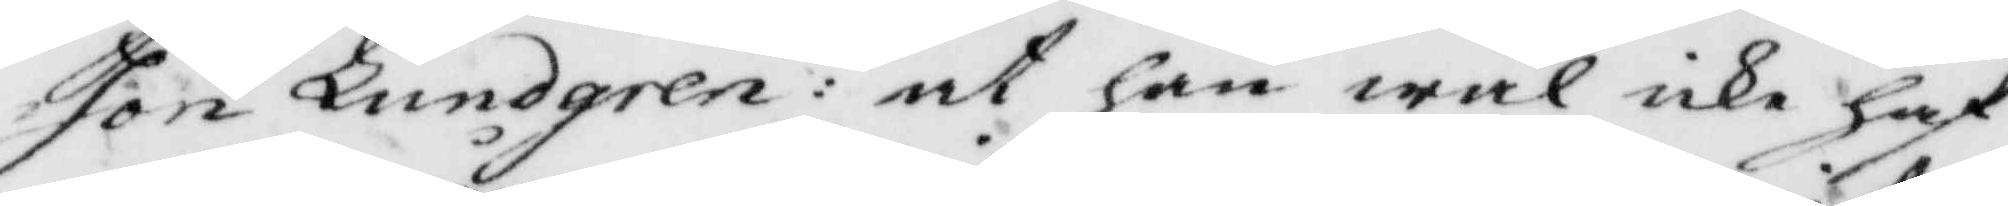son Lundgren: at han wäl icke haf¬
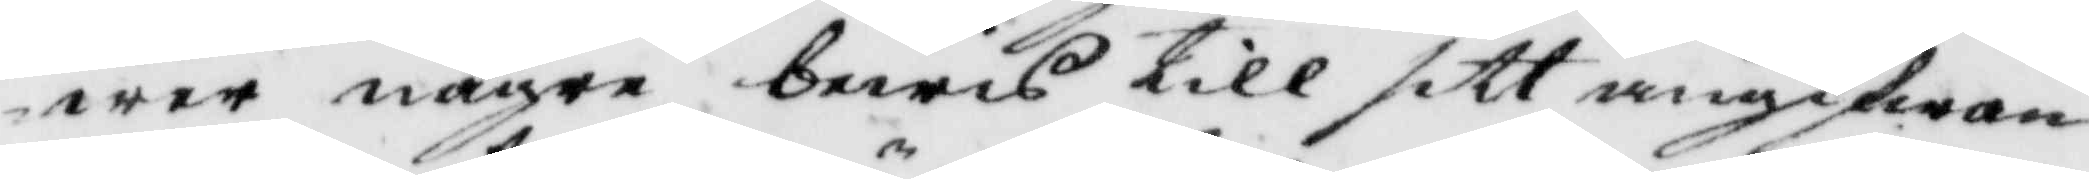wer några bewis till sitt angifwan¬
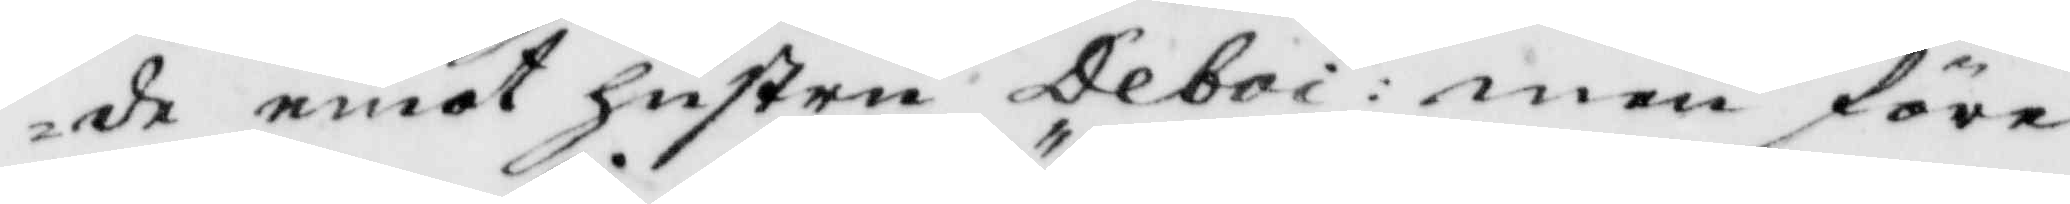de emot hustru Deboi: men före¬
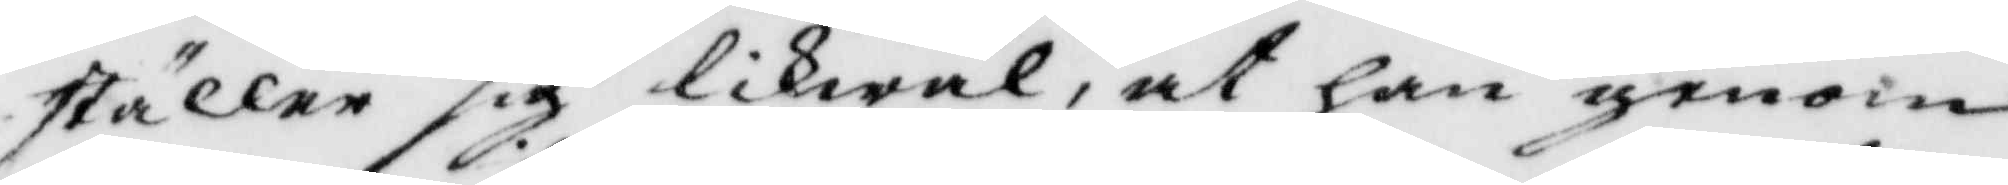ställer sig likwäl, at han genom
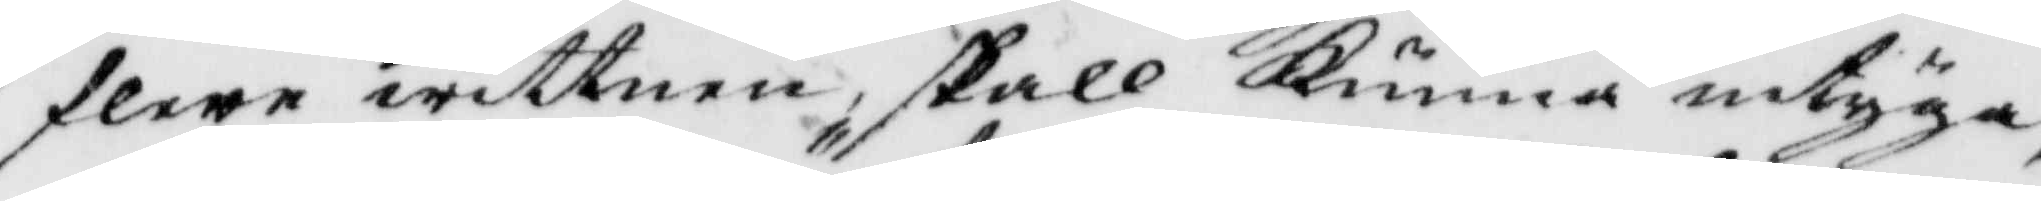flere wittnen, skall Kunna intyga,
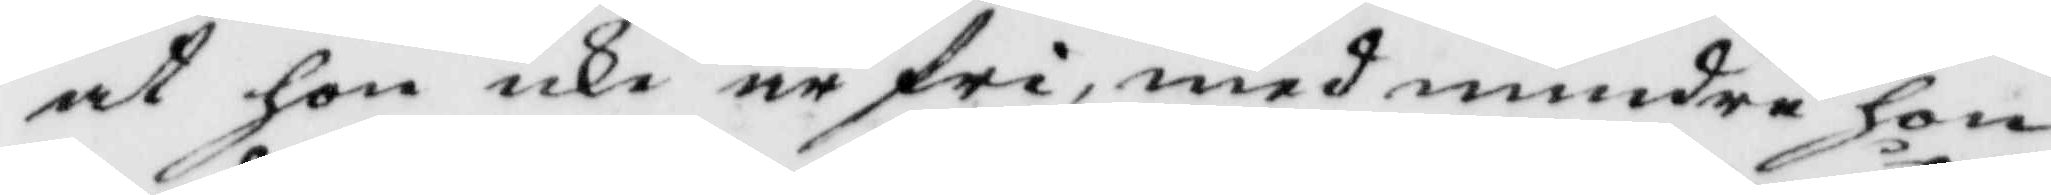at hon icke är fri, med mindre hon
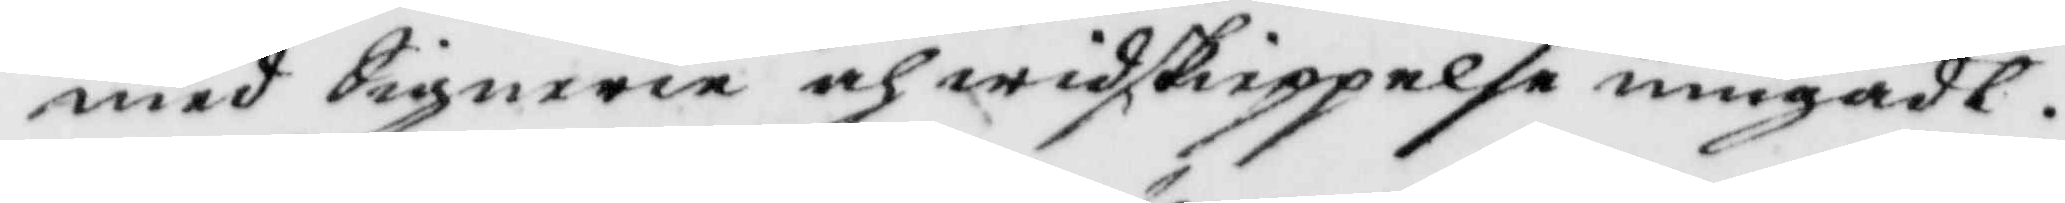med Signerie och widskieppelse umgådt.
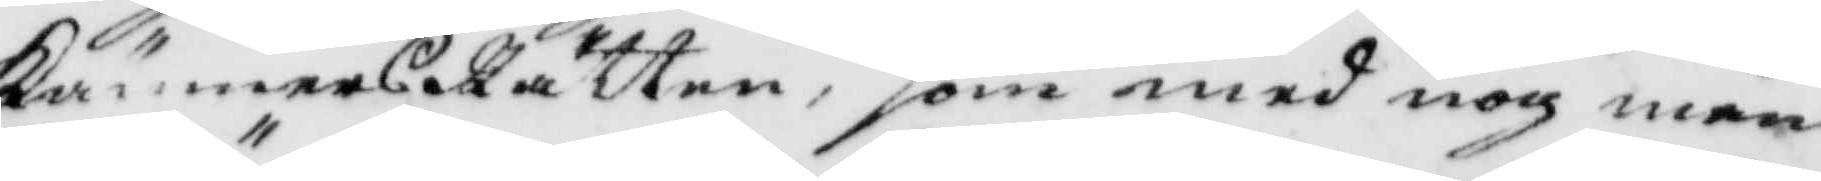KämnersRätten, som med nog mån¬
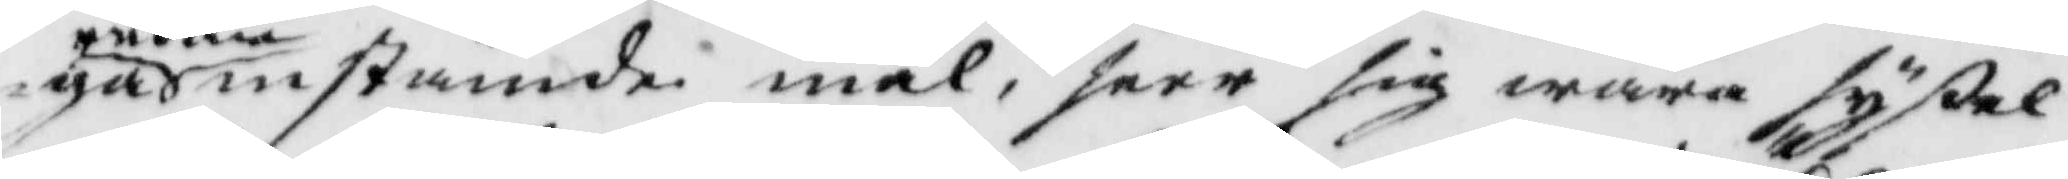ga andra instämde mål, seer sig wara syßel¬
